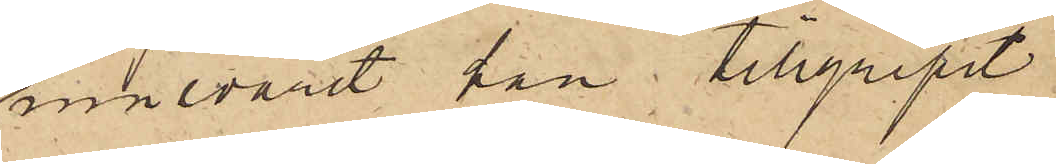innevarit han tillgripit
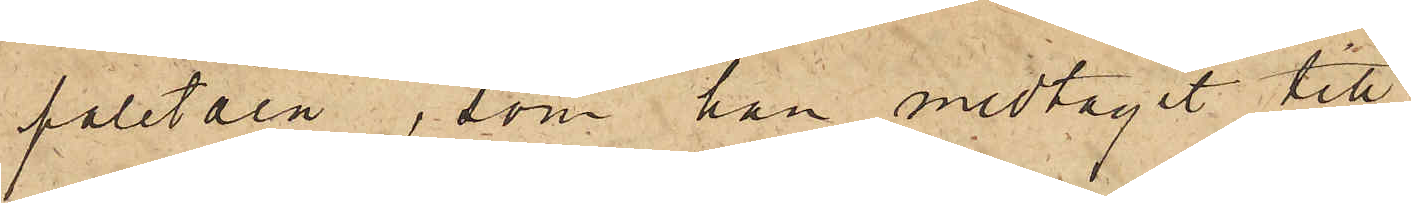paletåen, som han medtagit till
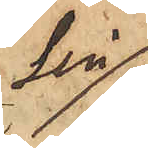sin
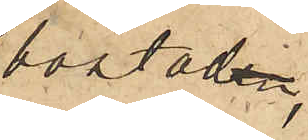bostad,
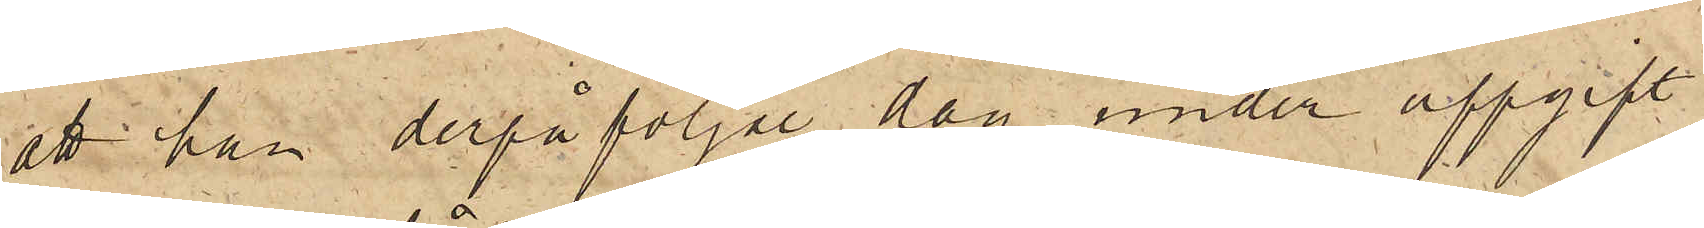att han derpåföljde dag under uppgift
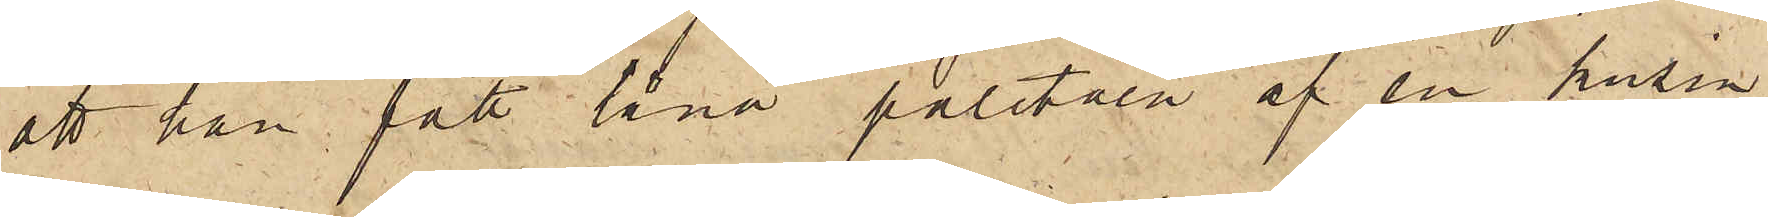att han fått låna paletåen af en kusin,
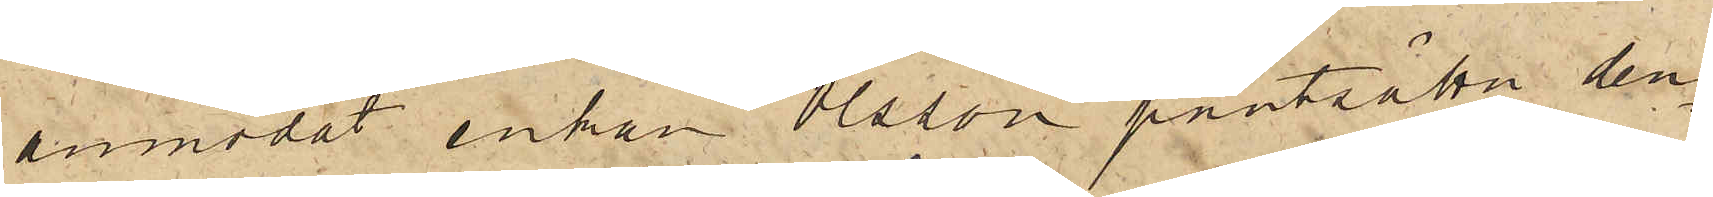anmodat enkan Olsson pantsätta den¬
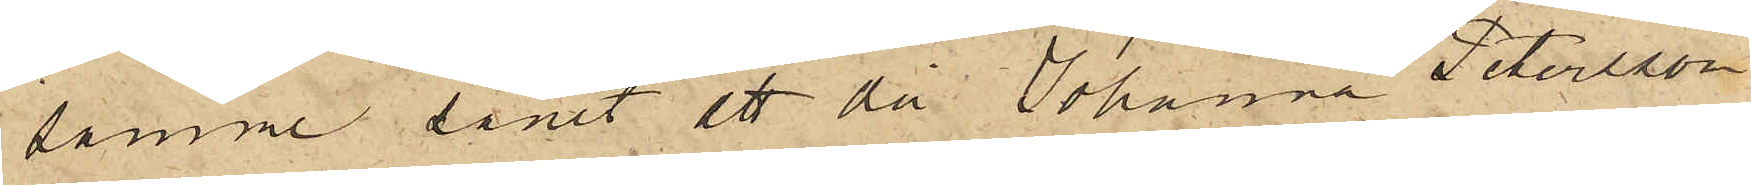samme samt att då Johanna Petersson
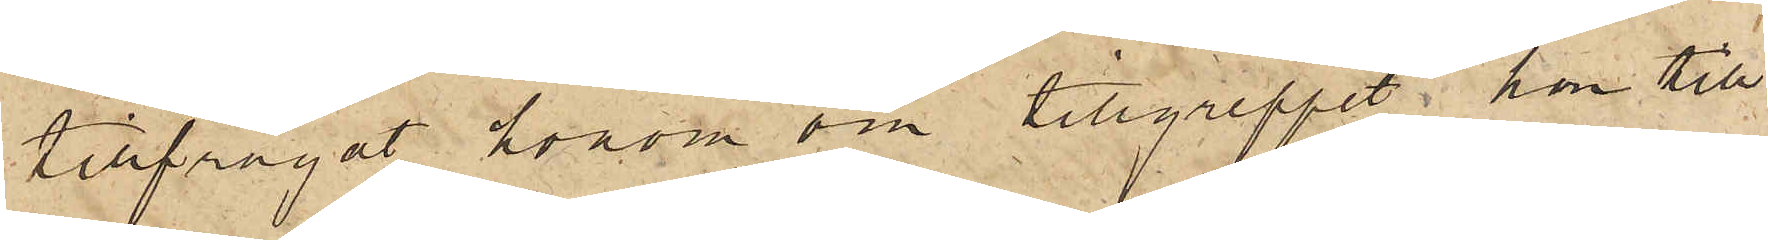tillfrågat honom om tillgreppet, han till
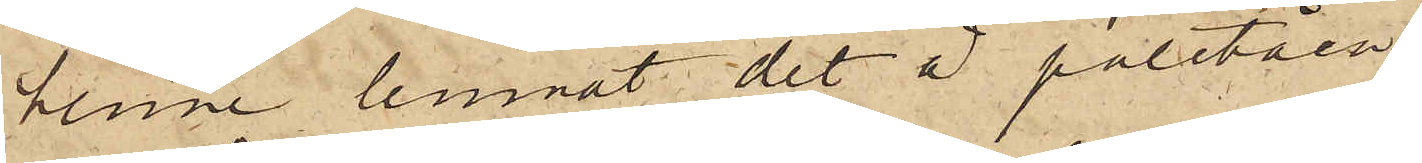henne lemnat det å paletåen
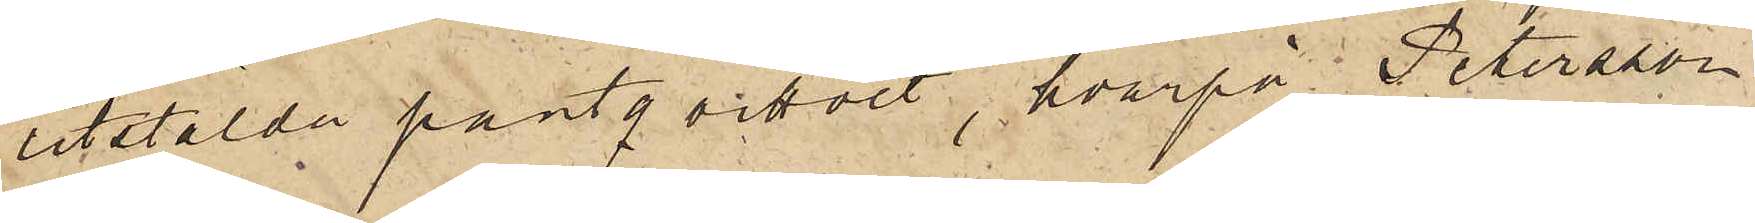utstälda pantqvittot, hvarpå Petersson
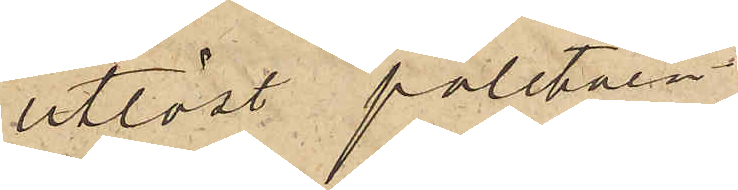utlöst paletåen.
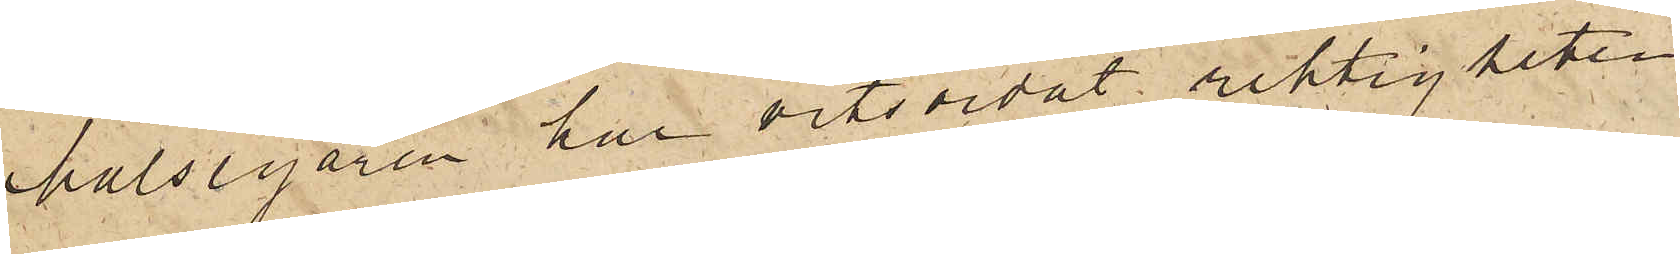Målsegaren har vitsordat riktigheten
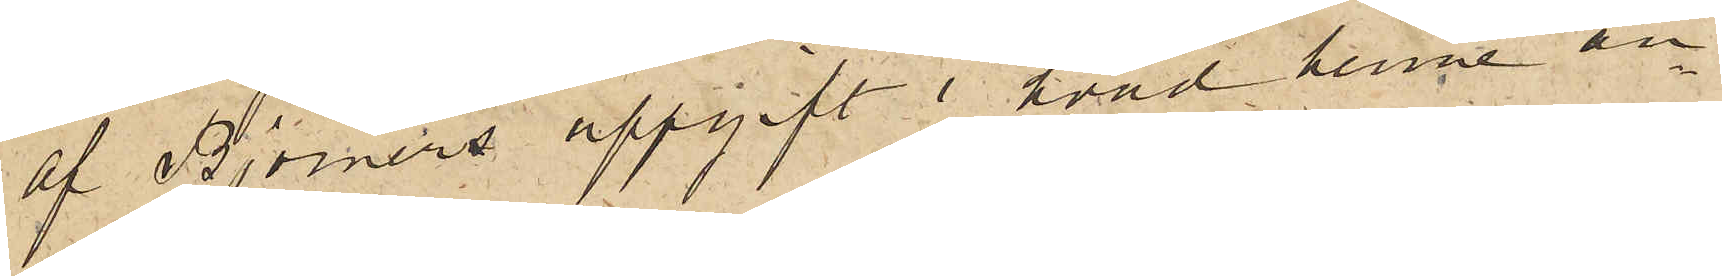af Björners uppgift i hvad henne an¬
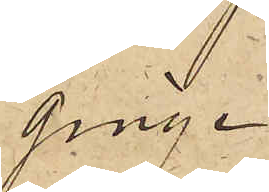ginge.
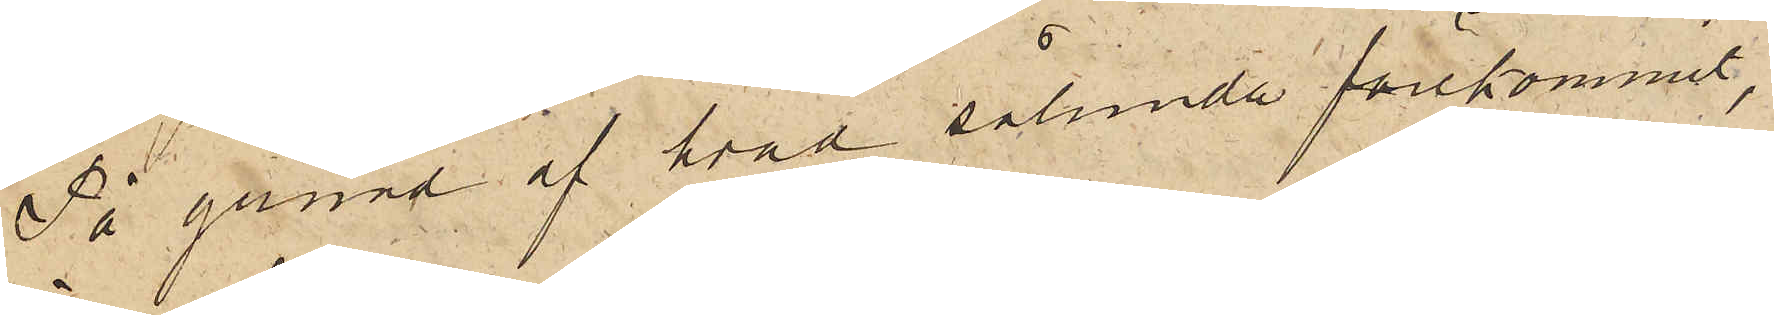På grund af hvad sålunda förekommit,
